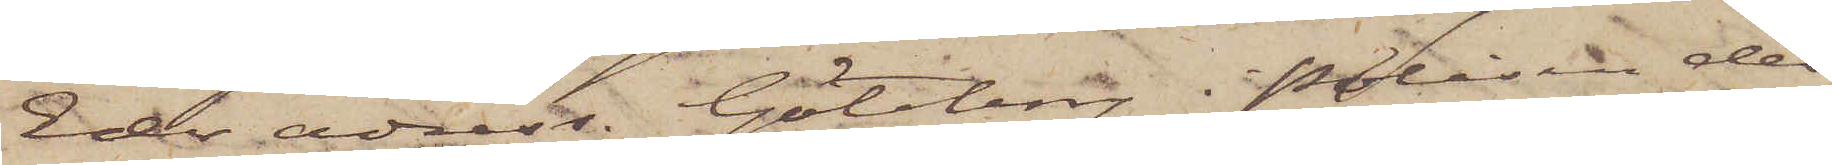Eder adress. Göteborg i Polisen det.
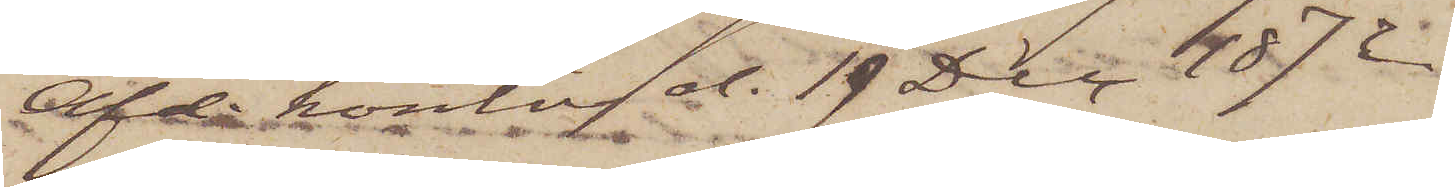Afd. kontor d. 19 Dec. 1872.
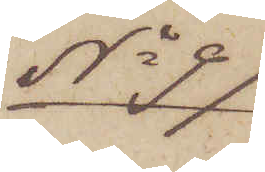No 97
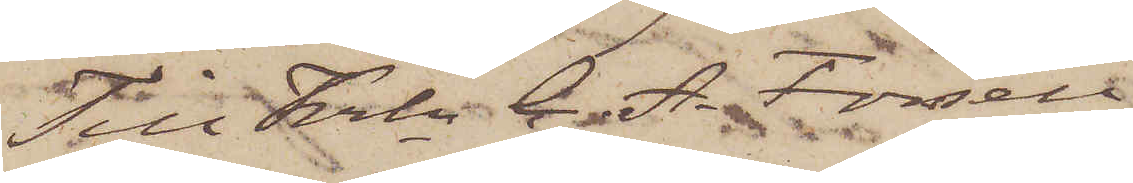Till Krln C. A. Forsell
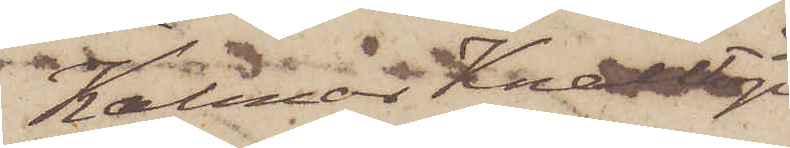Kalmar Knalltorp
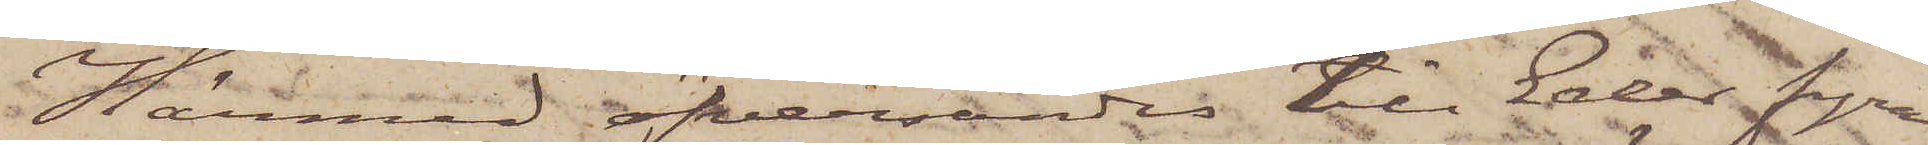Härmed öfversändes till Eder fyra
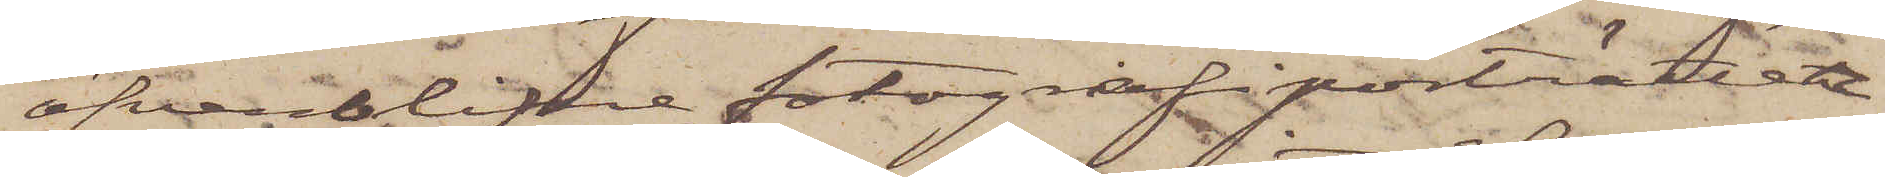öfverblifne fotografiporträtter
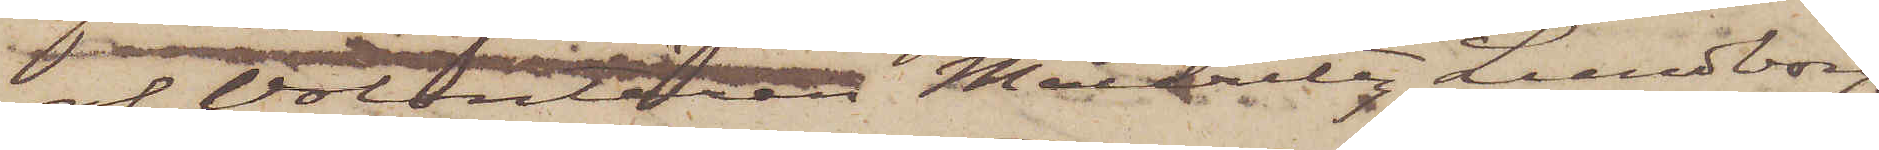af volontären Mauritz Lundborg.
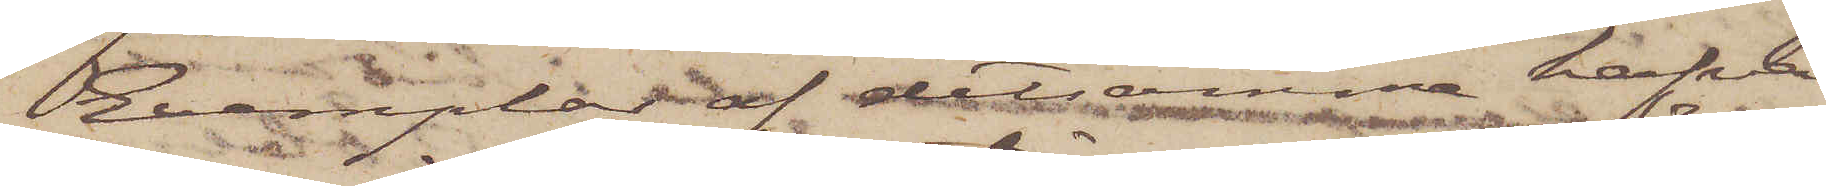Exemplar af detsamma hafva
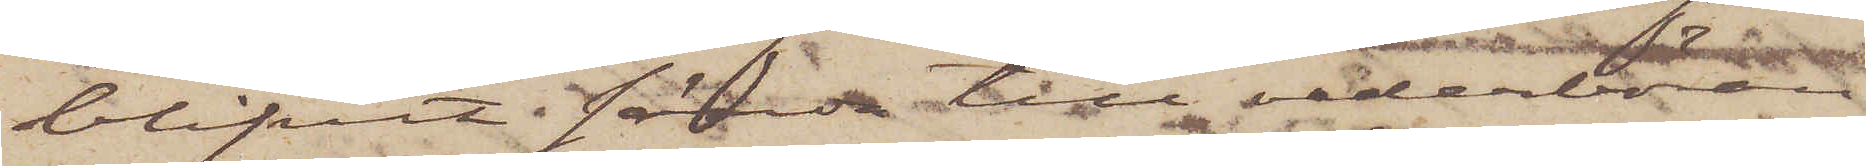blifvit sända till vederböran¬
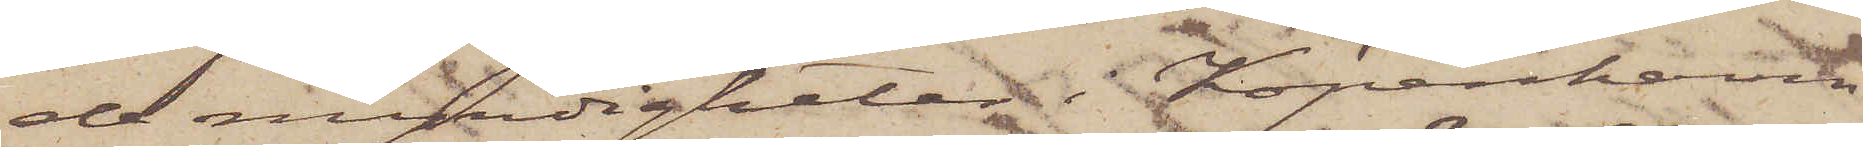de myndigheter i Köpenhamn,
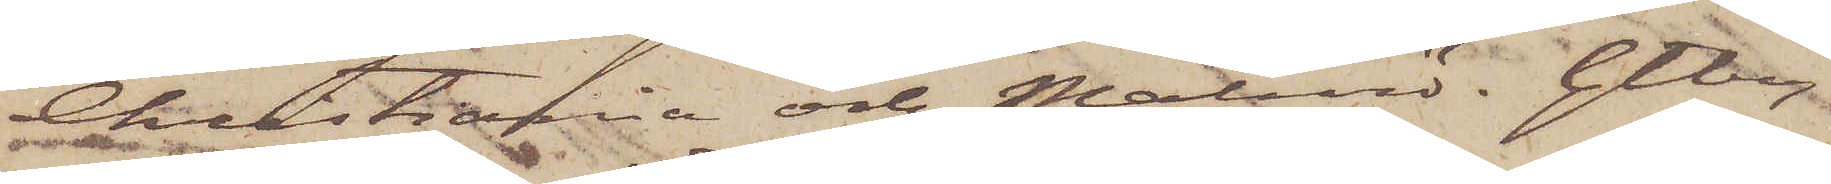Christiania och Malmö. Gtbrg
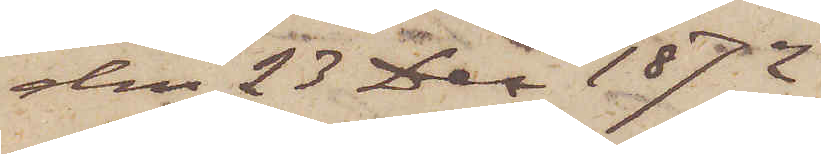den 23 Dec 1872.
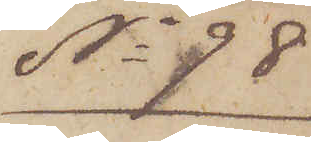No 98
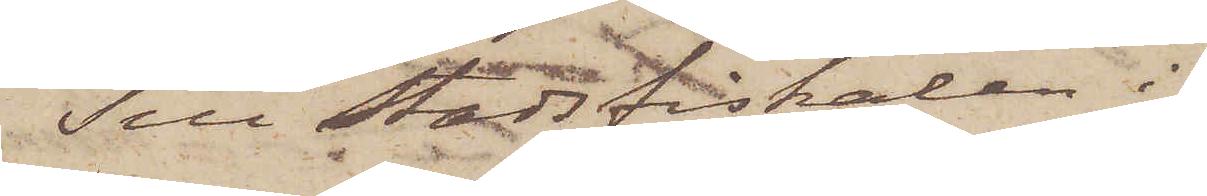Till Stadsfiskalen i
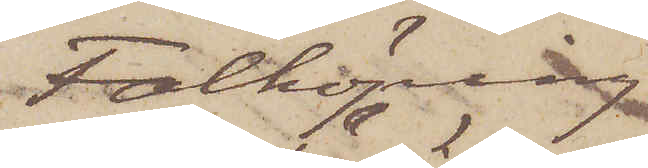Falköping
